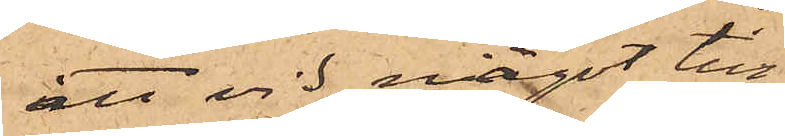att vid något till¬
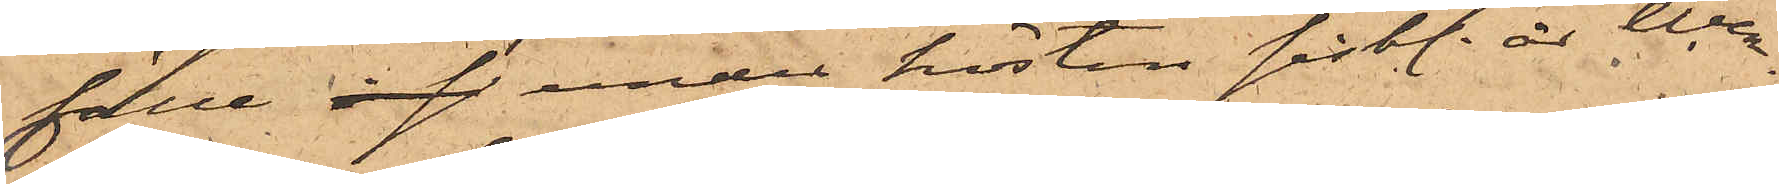fälle inf under hösten sistl. år Wen¬
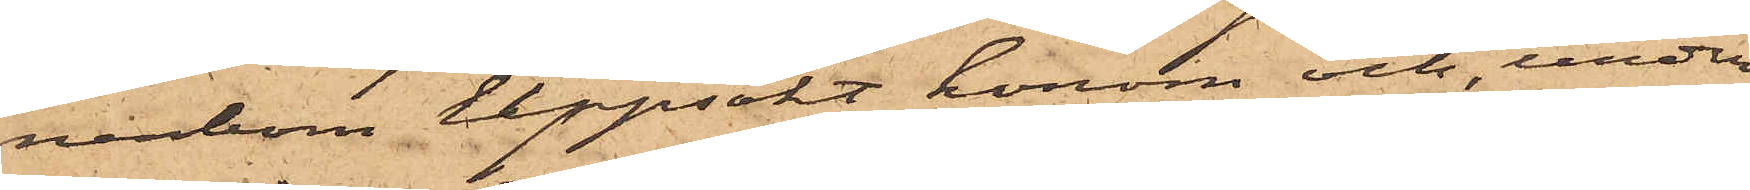nerbom uppsökt honom och, under
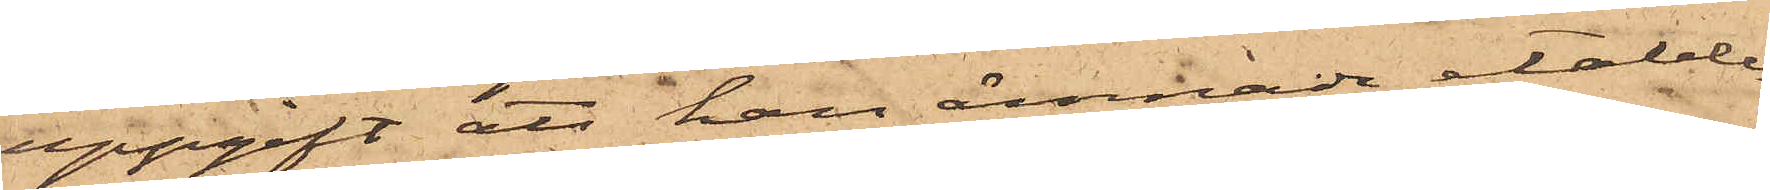uppgift att han ämnade etable¬
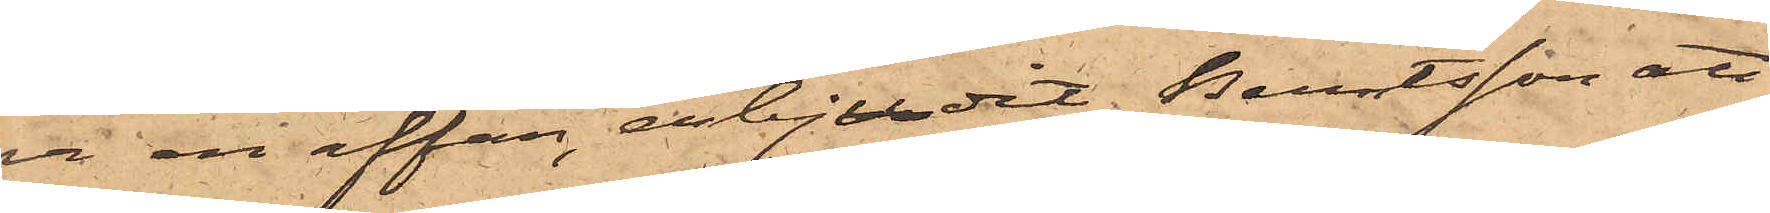ra en affär, erbjudit Berntsson att
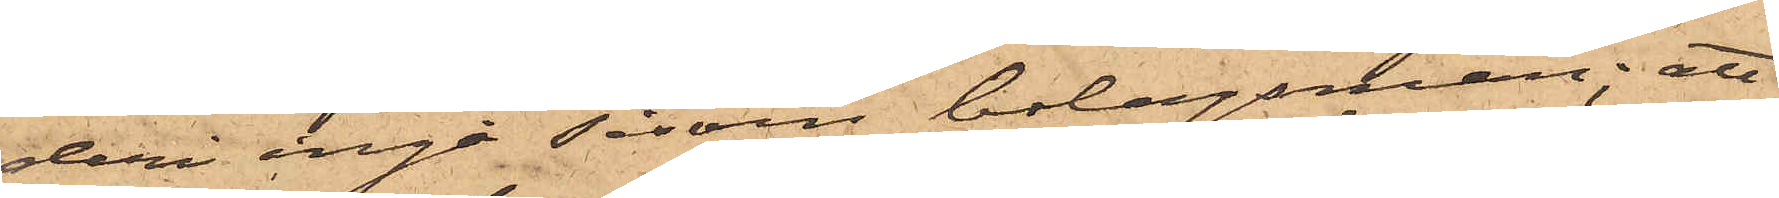deri ingå såsom bolagsman; att
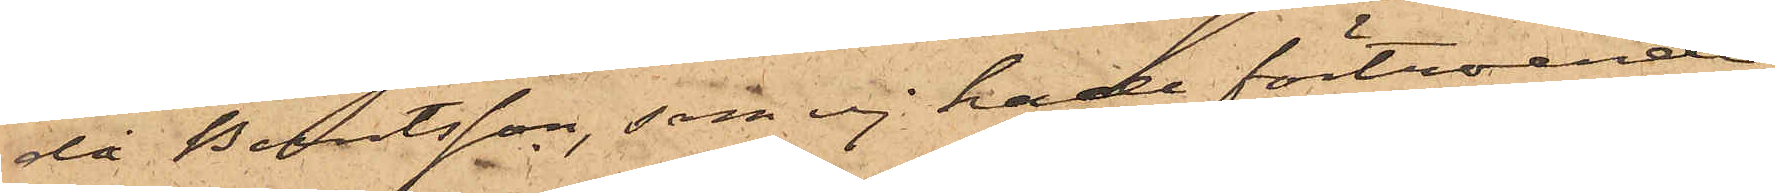då Berntsson, som ej hade förtroende
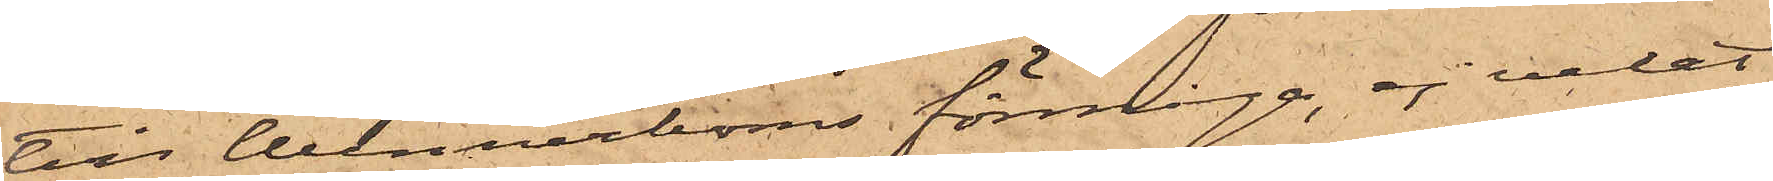till Wennerboms förmåga, ej velat
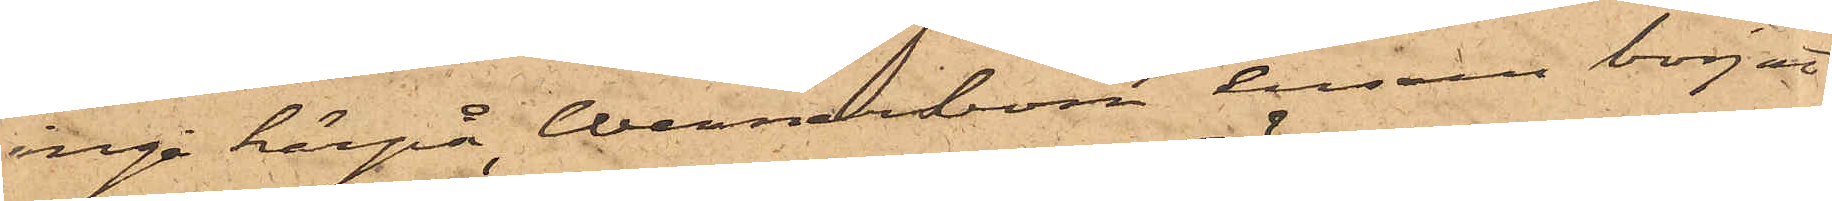ingå härpå, Wennerbom ensam börjat
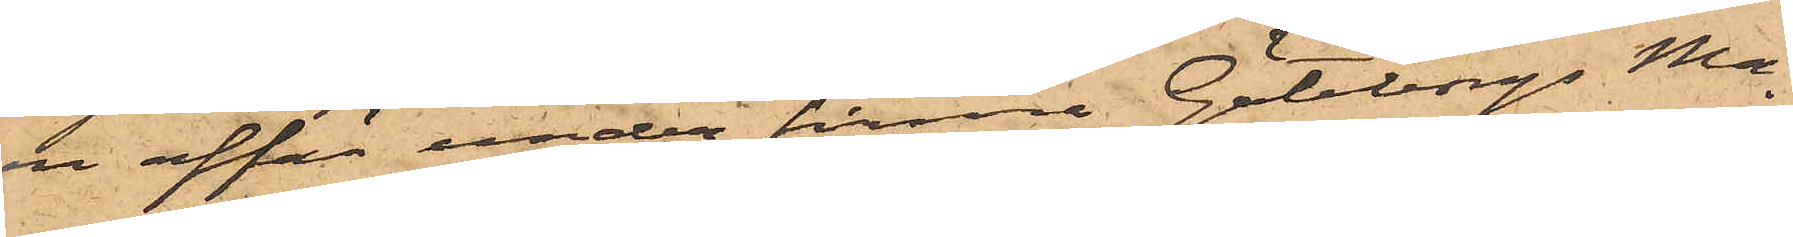en affär under firma Göteborgs Ma¬
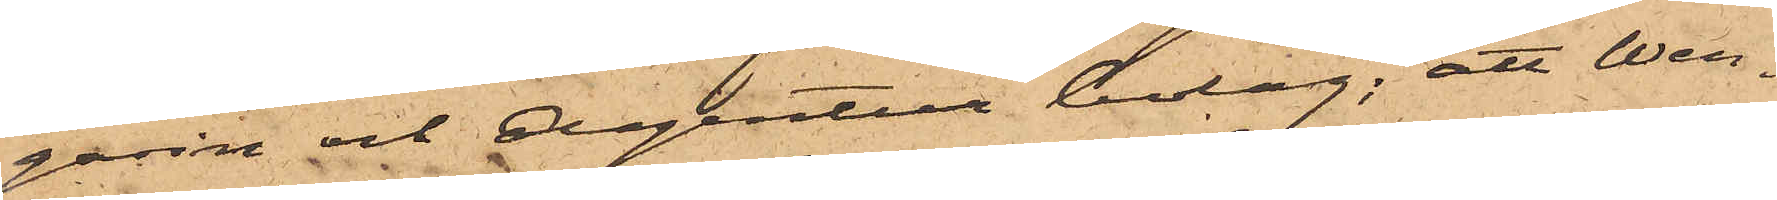gasin och Agentur bolag; att Wen¬
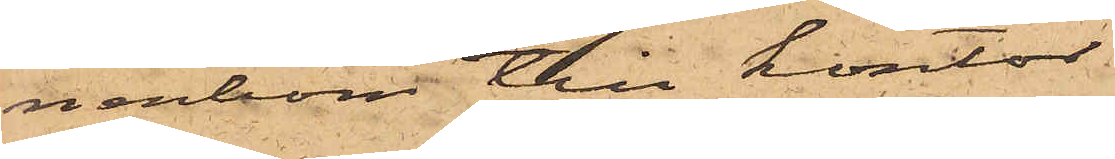nerbom till kontor
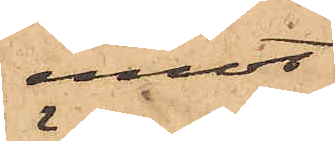emot
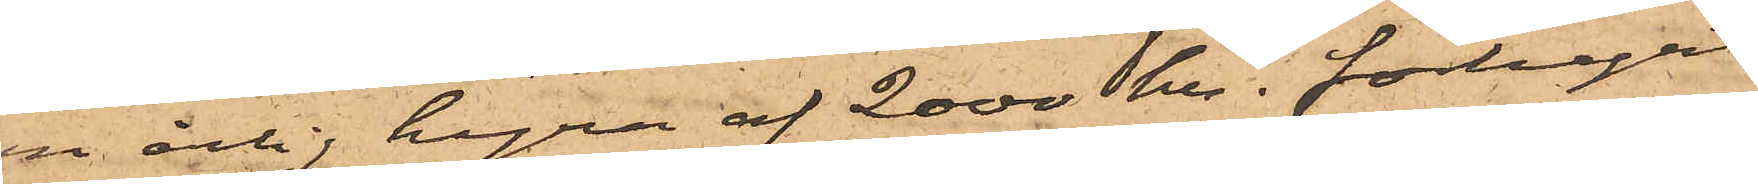en årlig hyra af 2000 kr. förhyrt
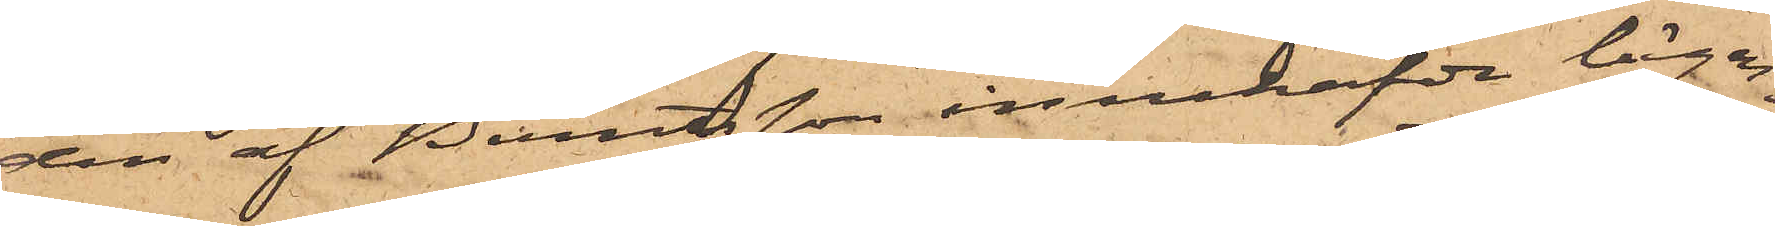den af Berntsson innehafda lägen¬
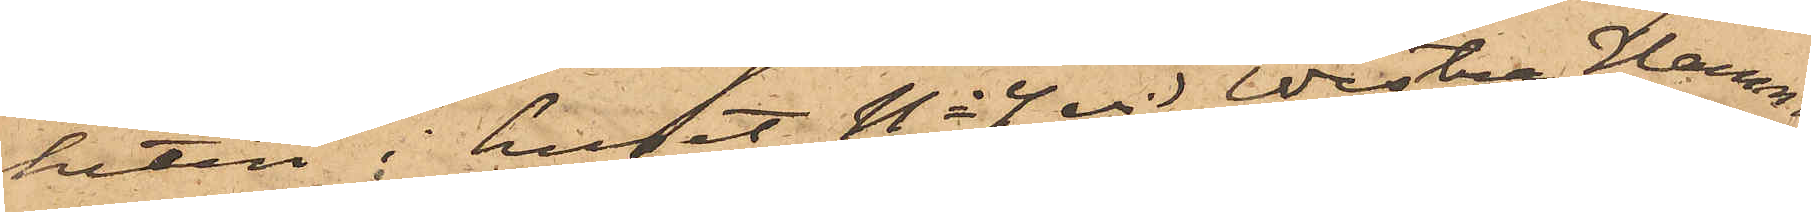heten i huset No 4 vid Westra Hamn¬
